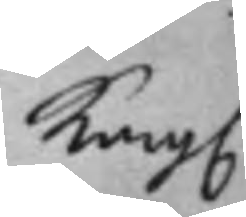Kong.
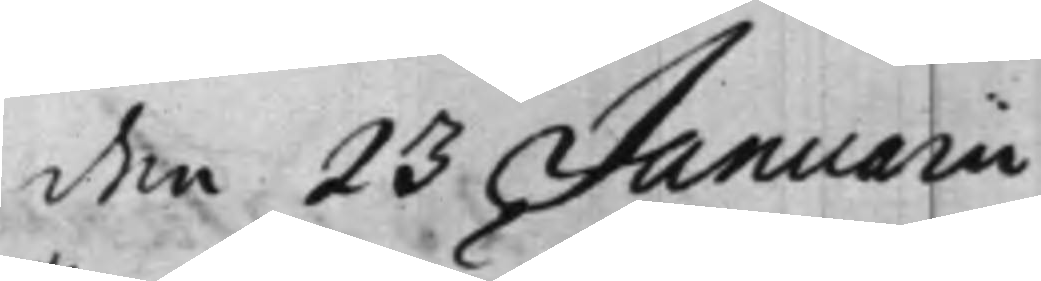den 23 Januarii
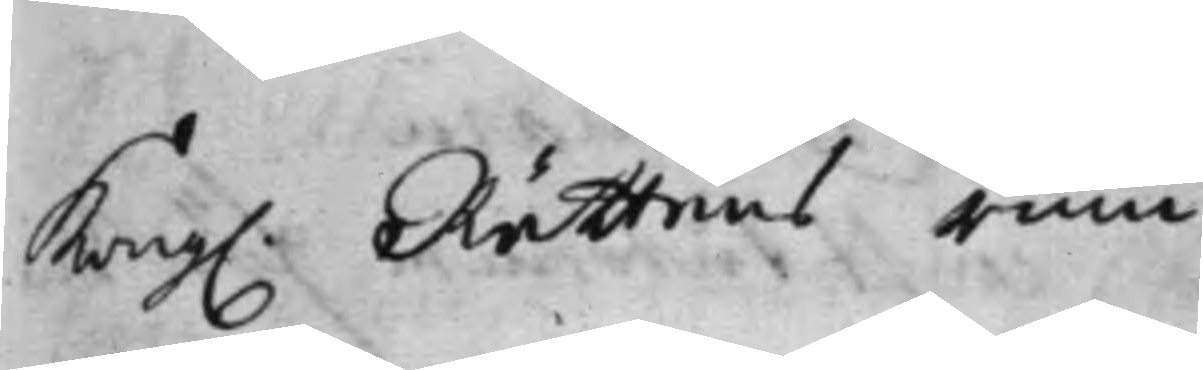Kong. Rättens rum.
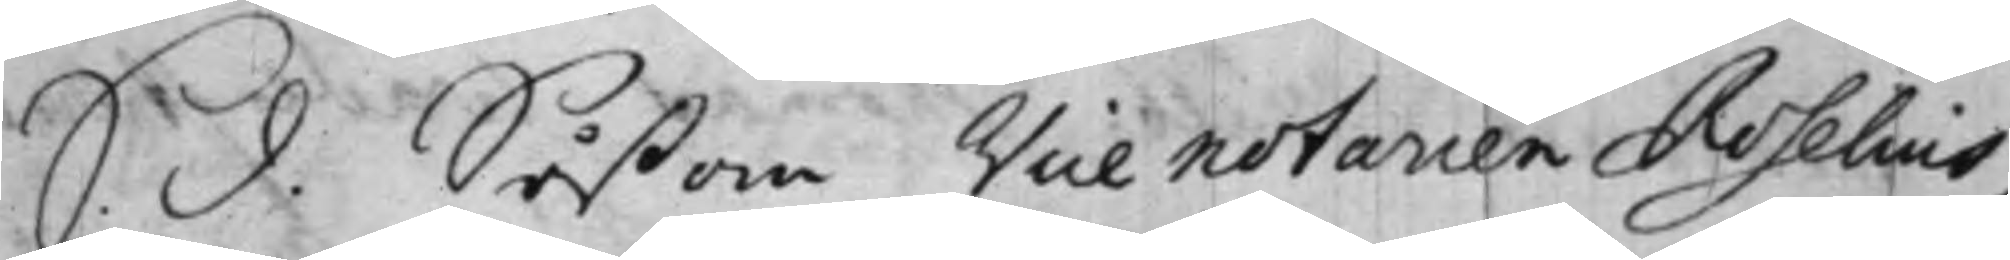S. d. Såßom Vice notarien Roselius
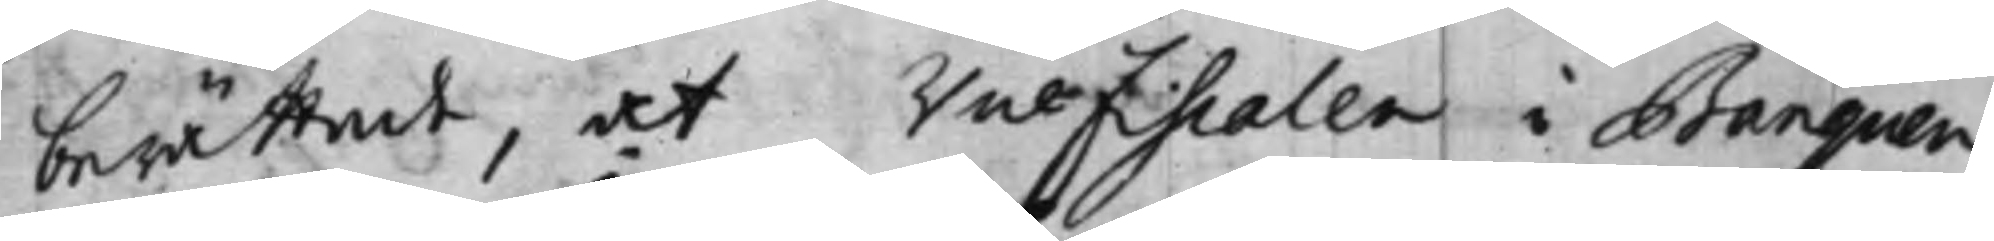berättat, at ViceFiscalen i Banquen
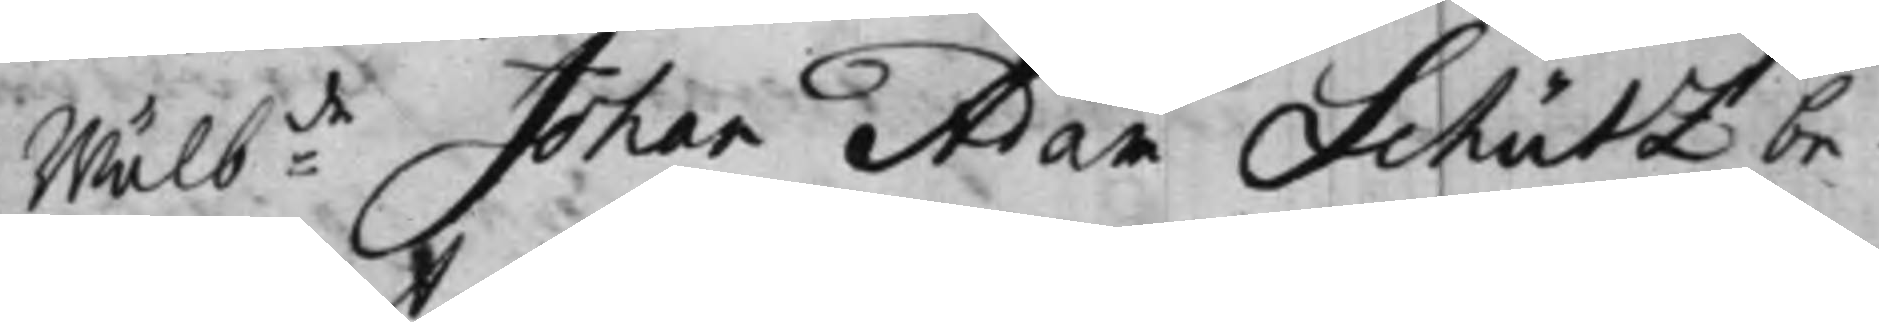Wälb:de Johan Adam Schutz be¬
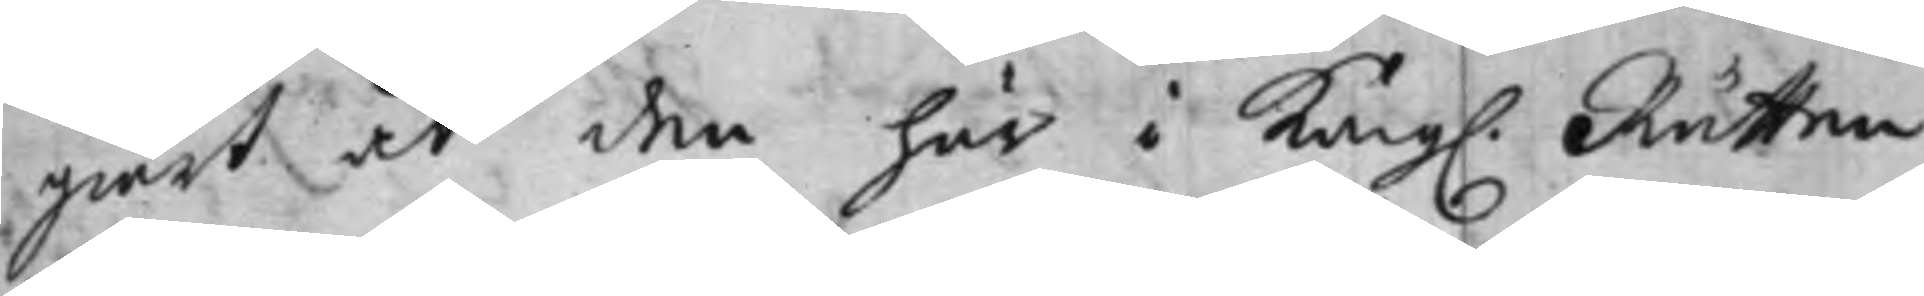giärt at den här i Kong. Rätten
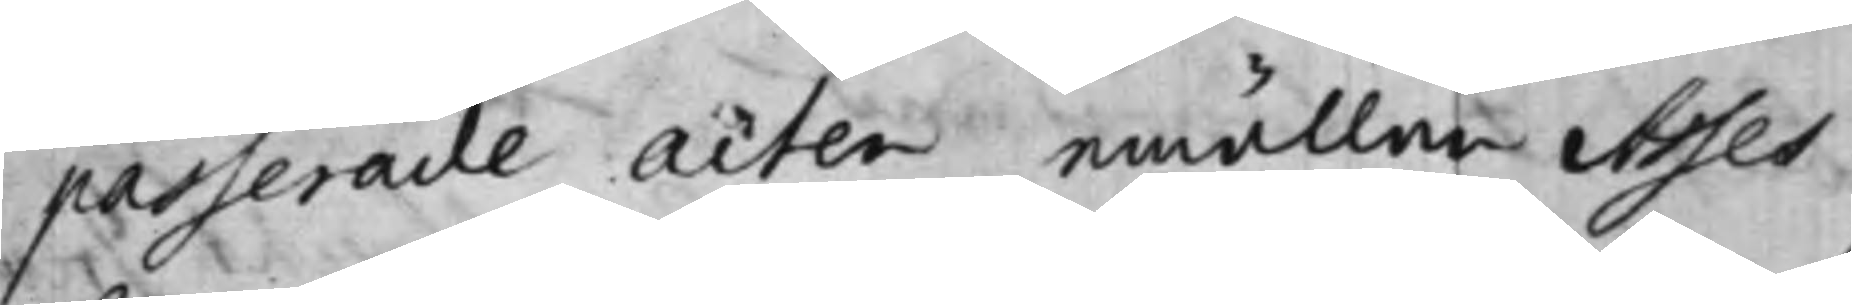passerade acten emällan Asses¬
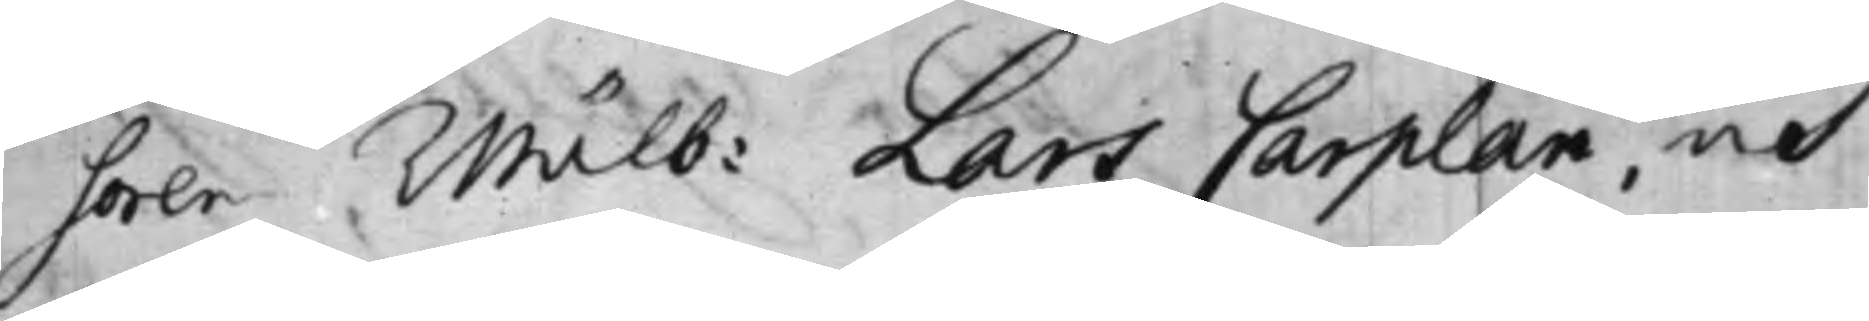soren Wälb: Lars Carplan, och
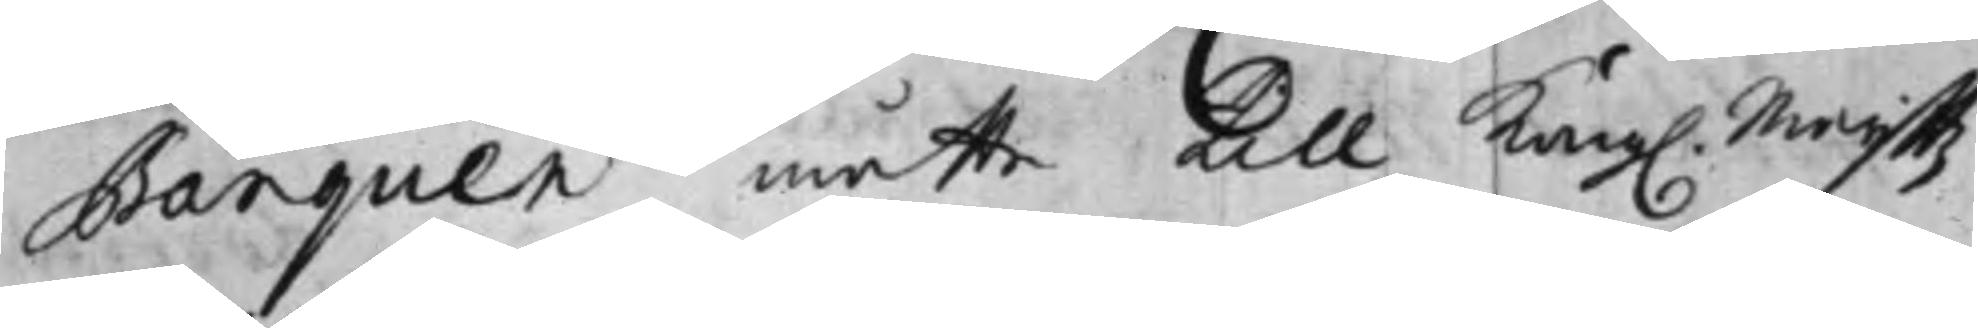Banquen måtte till Kong. Maijttz
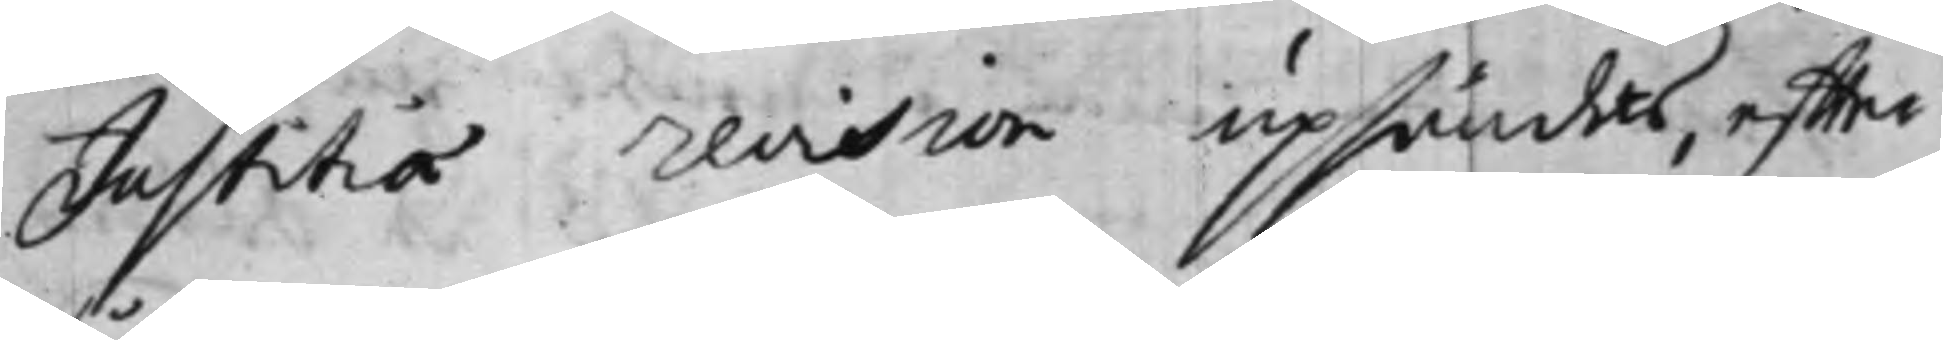Justitiae revision upsändas, effter¬
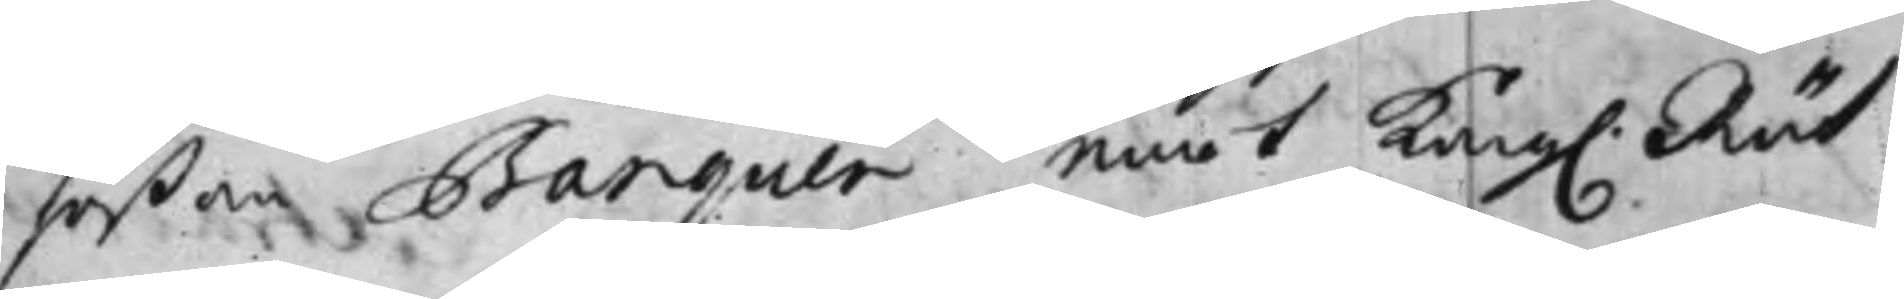såßom Banquen emot Kong. Rät¬
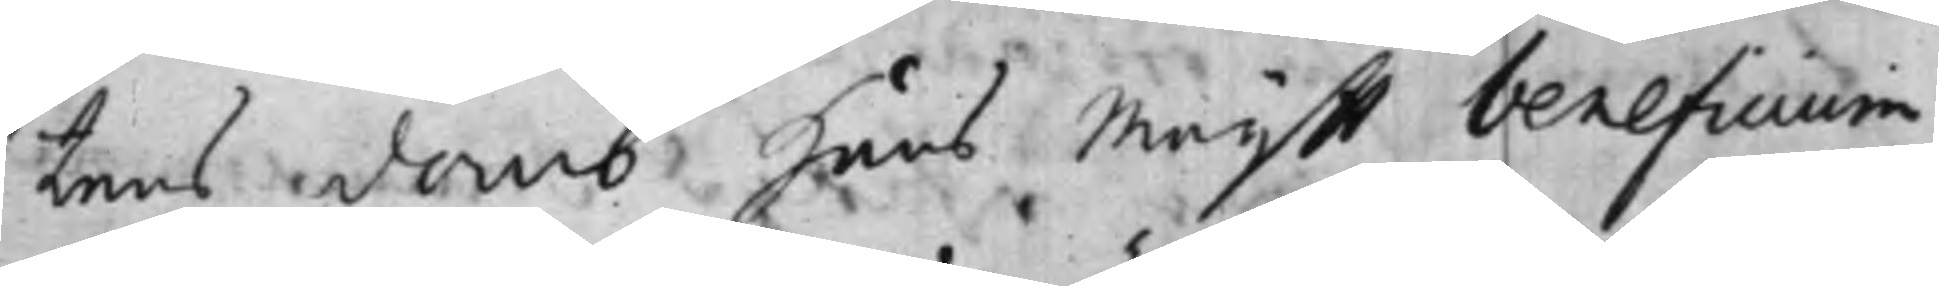tens domb Hans Maijtt beneficium
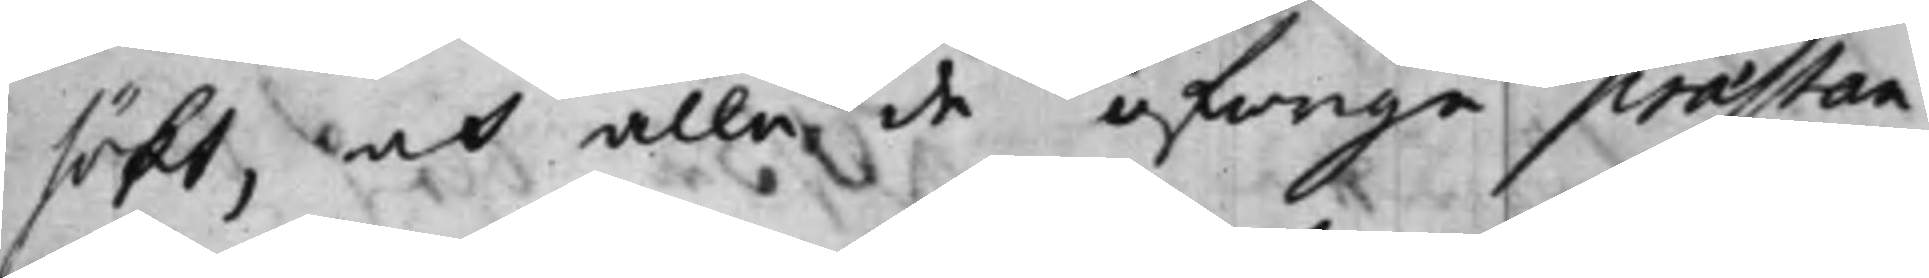sökt, och alla de öfrige praestan¬
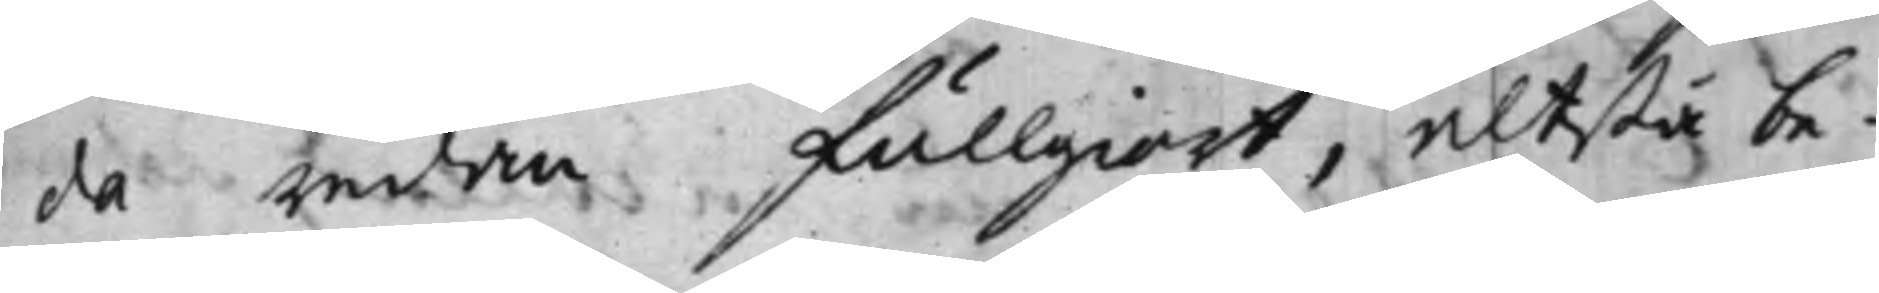da redan fullgiort, altßå be¬
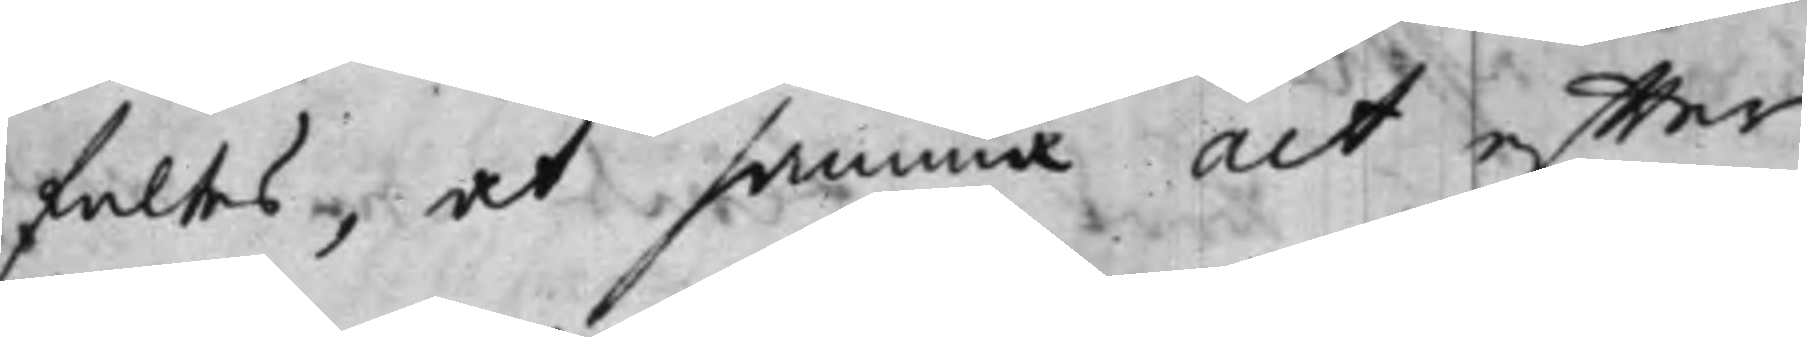faltes, at samma act effter
